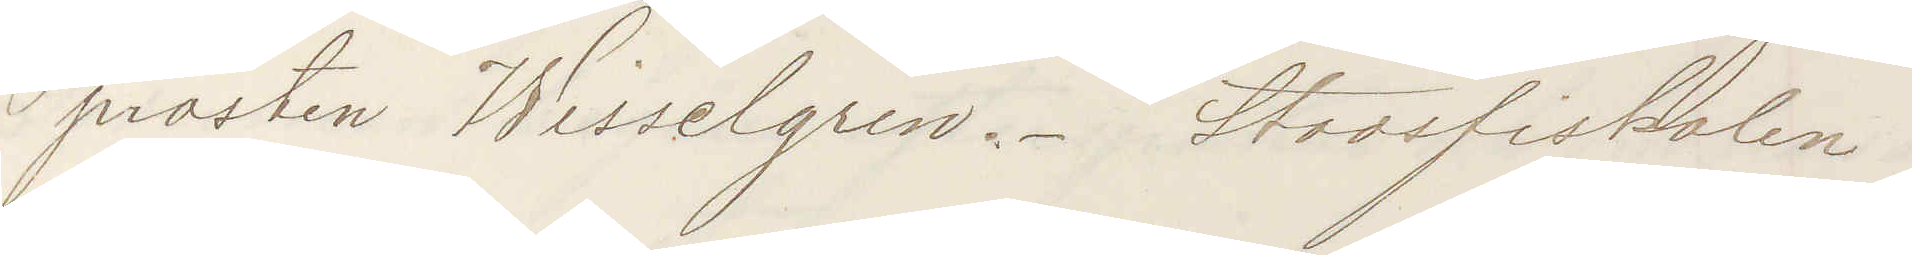prosten Wisselgren. Stadsfiskalen
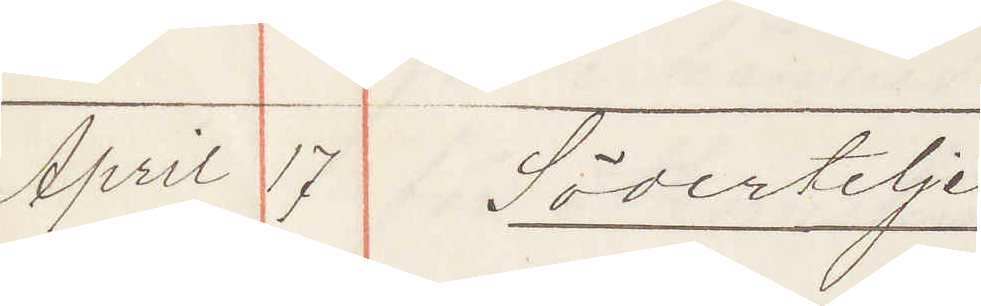April 17 Södertelje
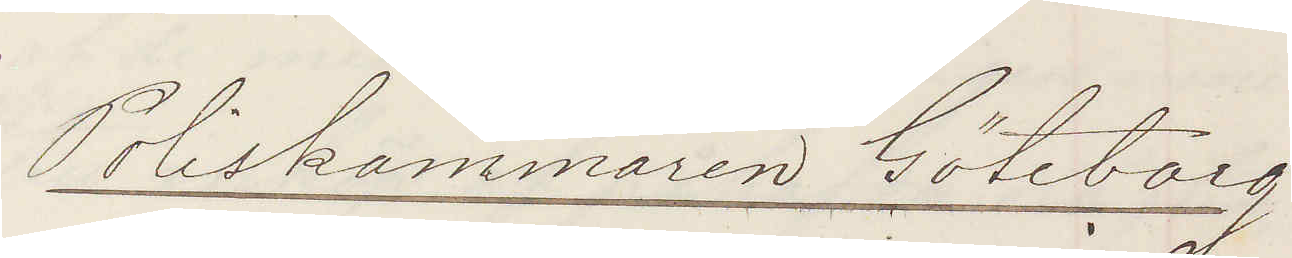Poliskammaren Göteborg
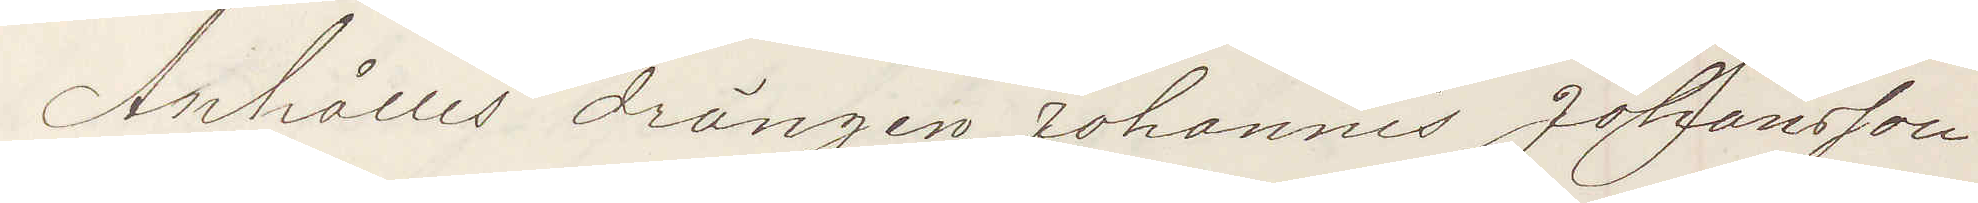Anhålles drängen Johannes Johansson
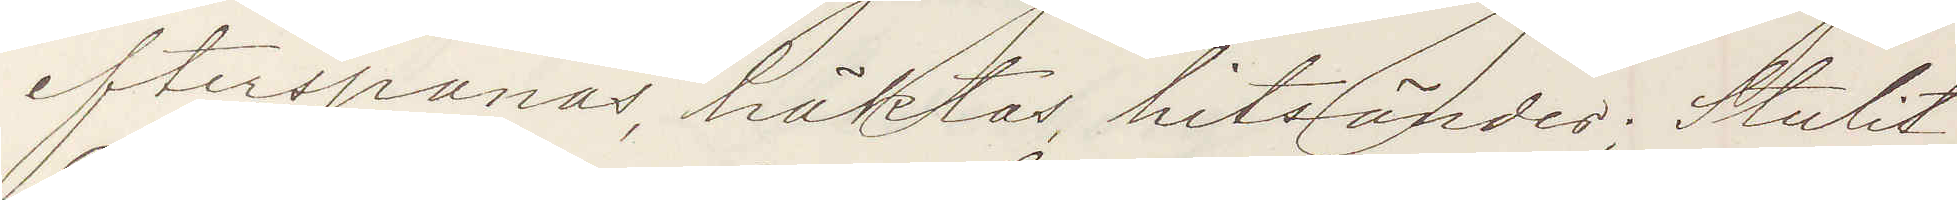efterspanas, häktas, hitsändes; Stulit
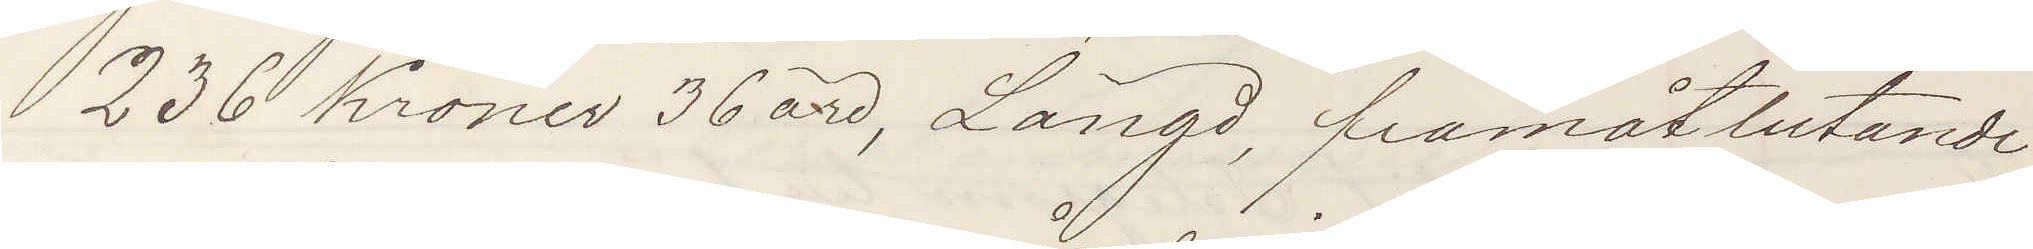236 Kronor 36 öre, Längd, framåtlutande,
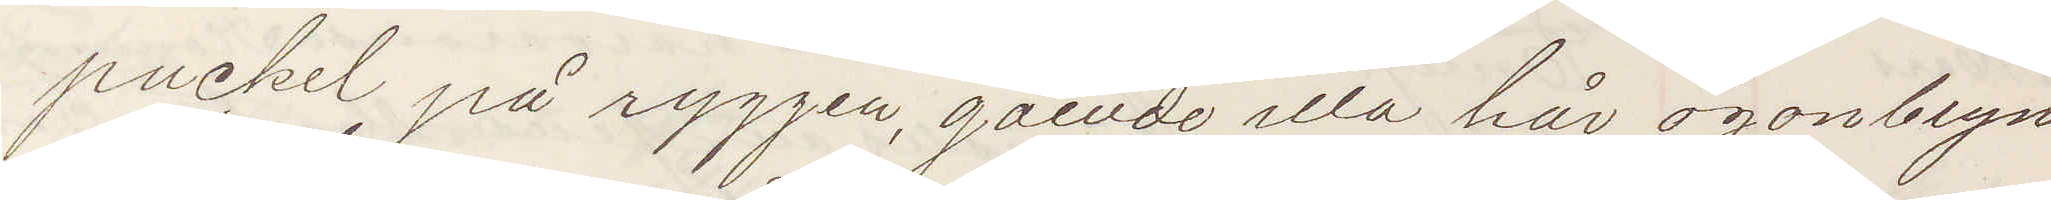puckel på ryggen, gående illa, hår ögonbryn
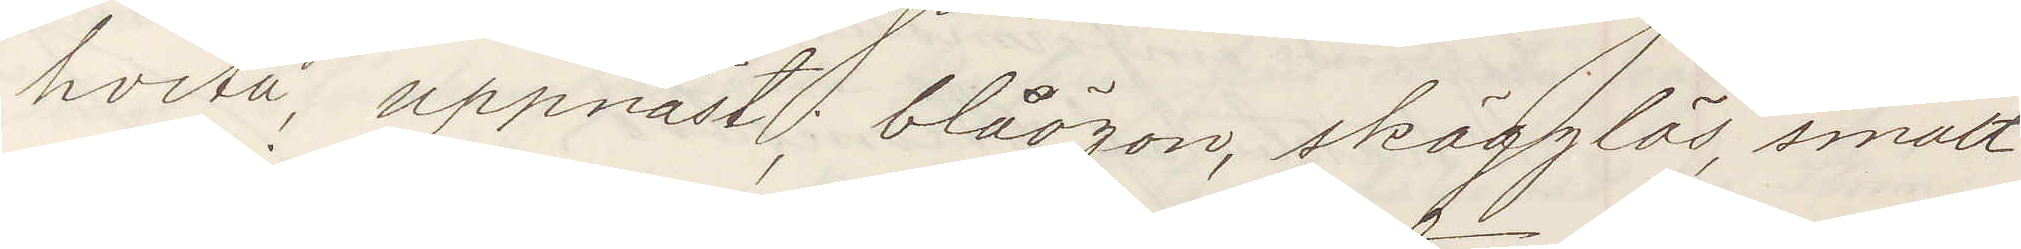hvita, uppnäst, blåögon, skägglös, smalt
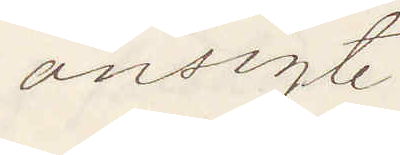ansigte.
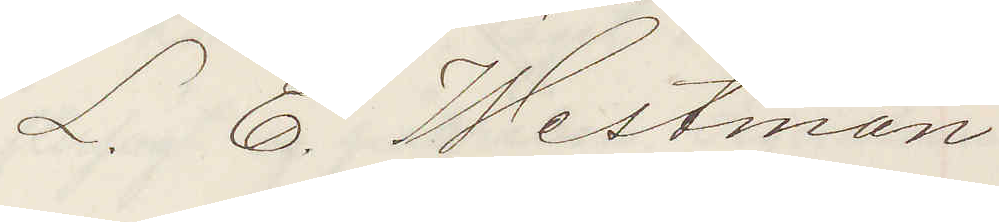L. E. Westman
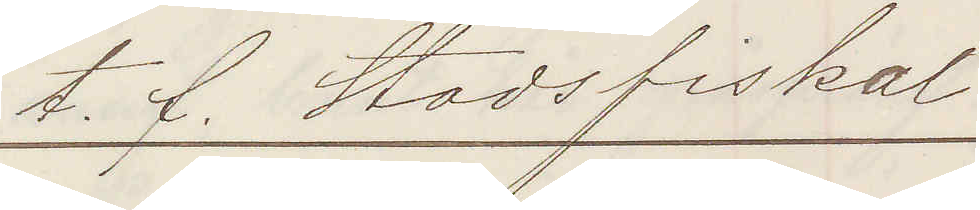t. f. Stadsfiskal
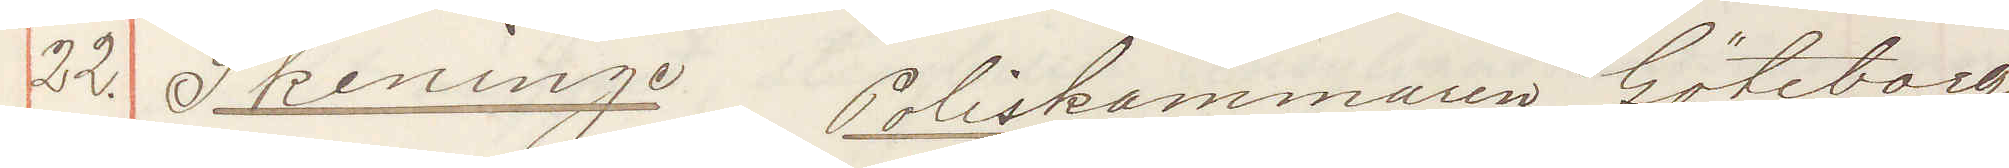22. Skeninge Poliskammaren Göteborg
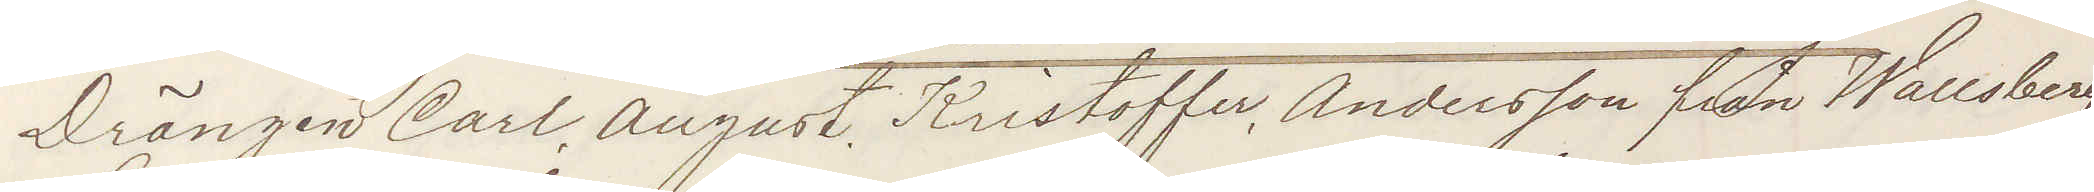Drängen Carl August Kristoffer Andersson fran Wallsberg,
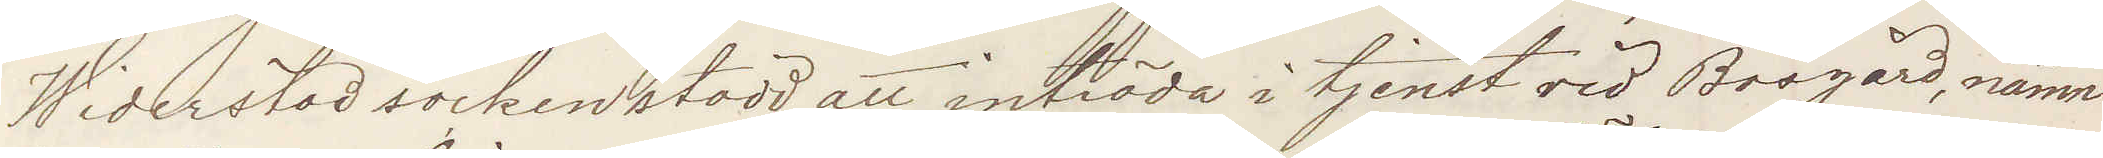Widerstad socken stadd att inträda i tjenst vid Bosgård, nämn¬
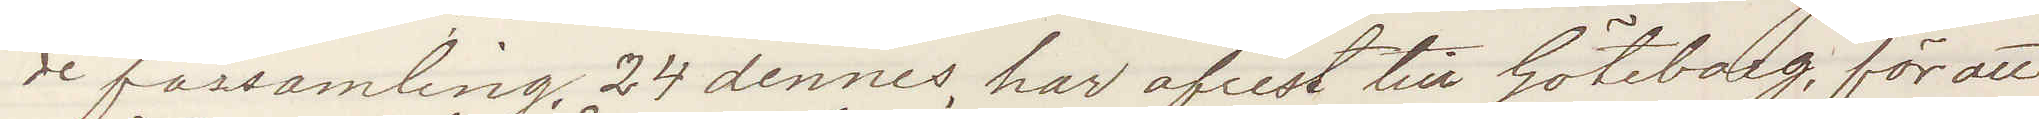de församling, 24 dennes, har afrest till Göteborg, för att
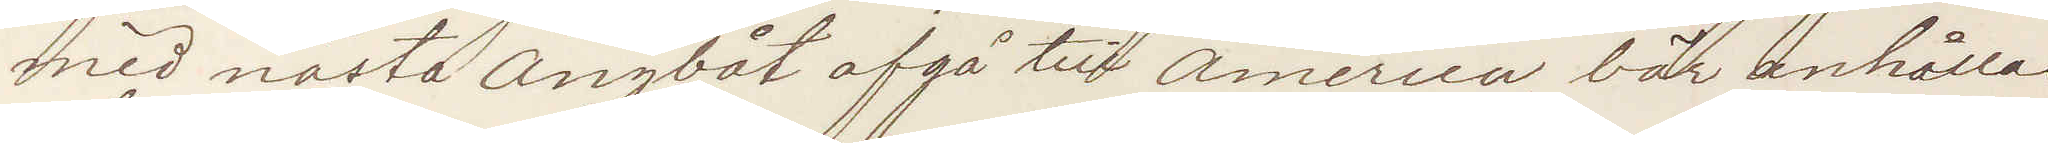med nästa Ångbåt afgå till America, bör anhållas
